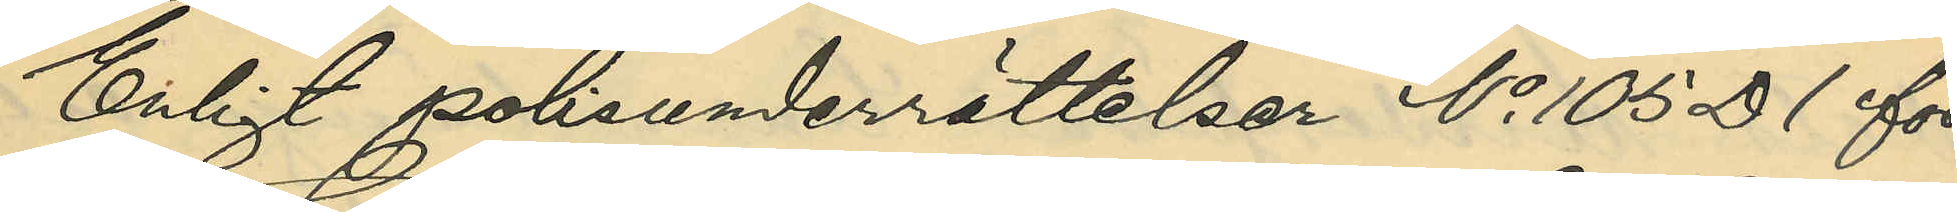Enligt polisunderrättelser No 105 D 1 för
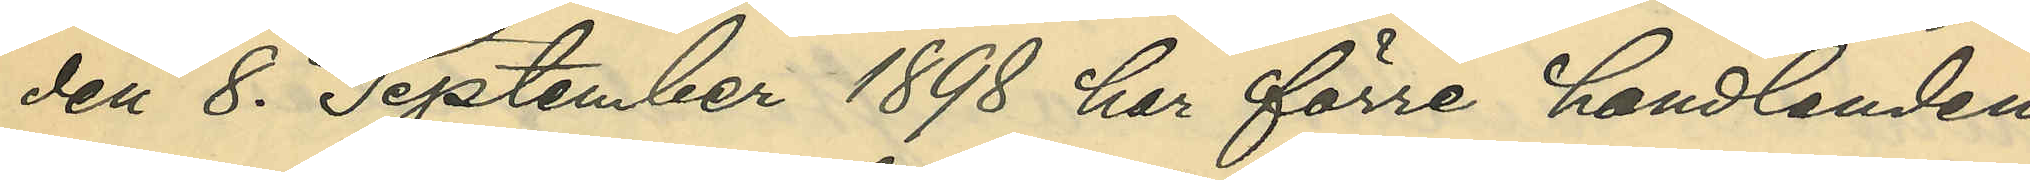den 8 September 1898 har förre handlanden
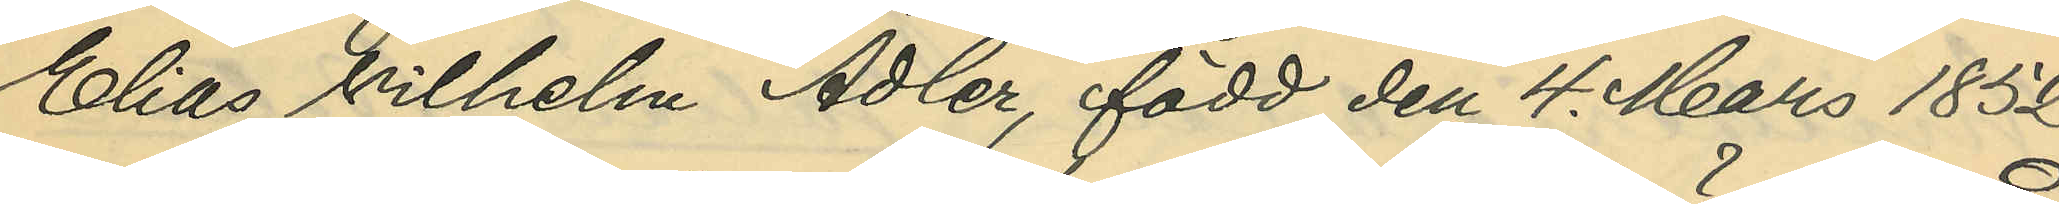Elias Vilhelm Adler, född den 4 Mars 1852
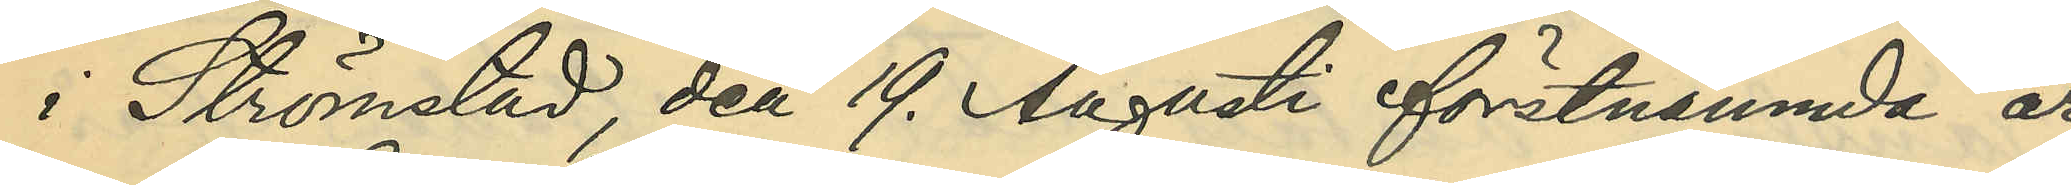i Strömstad, den 19. Augusti förutnämnde år
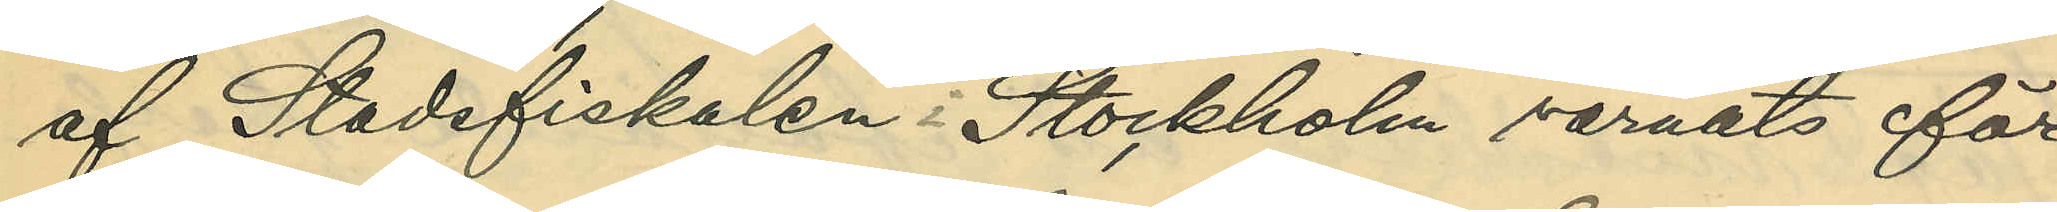af Stadsfiskalen i Stockholm varnats för
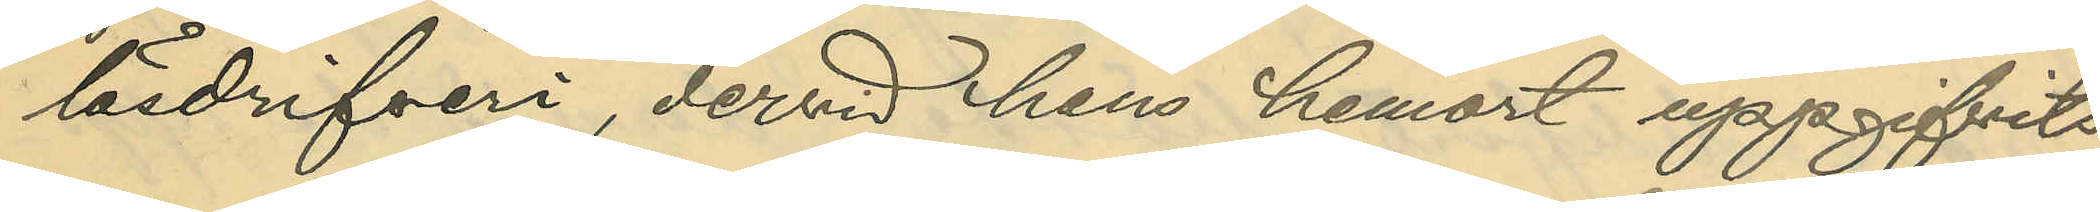lösdrifveri, dervid hans hemort uppgifvits
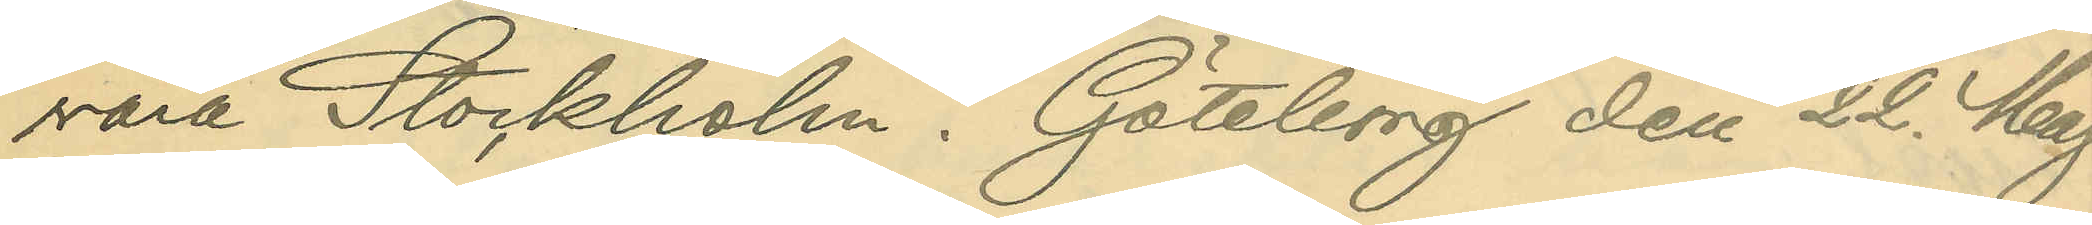var Stockholm. Göteborg den 22 Maj
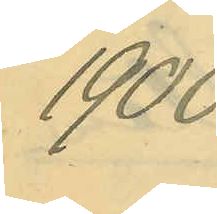1900.
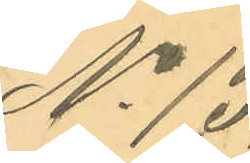No 13.
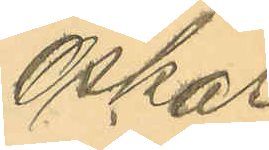Oskar
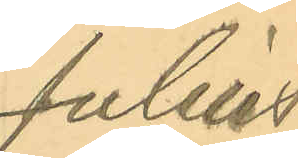Julius
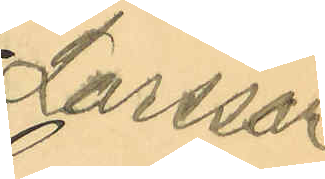Larsson
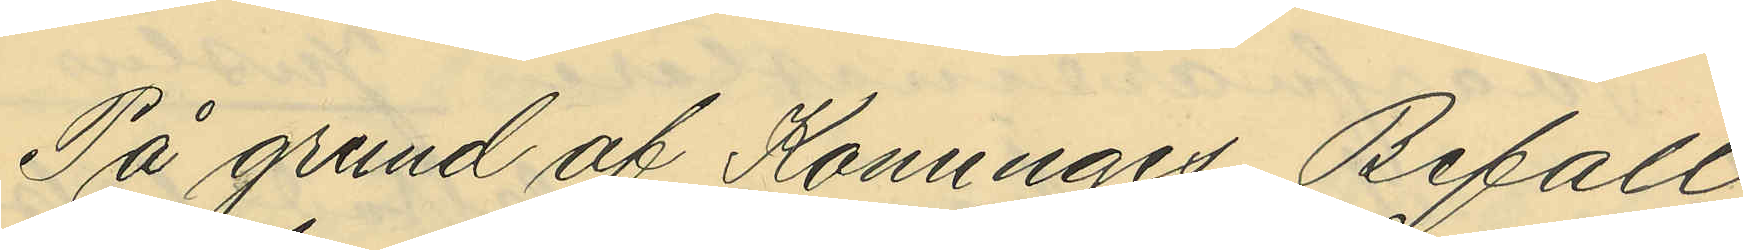På grund af Konungens Befall¬
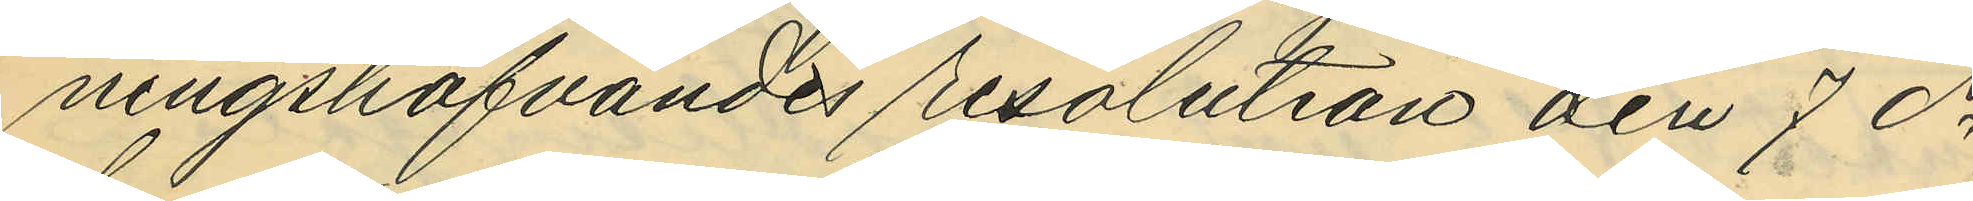ningshafvandes resolution den 7 ds
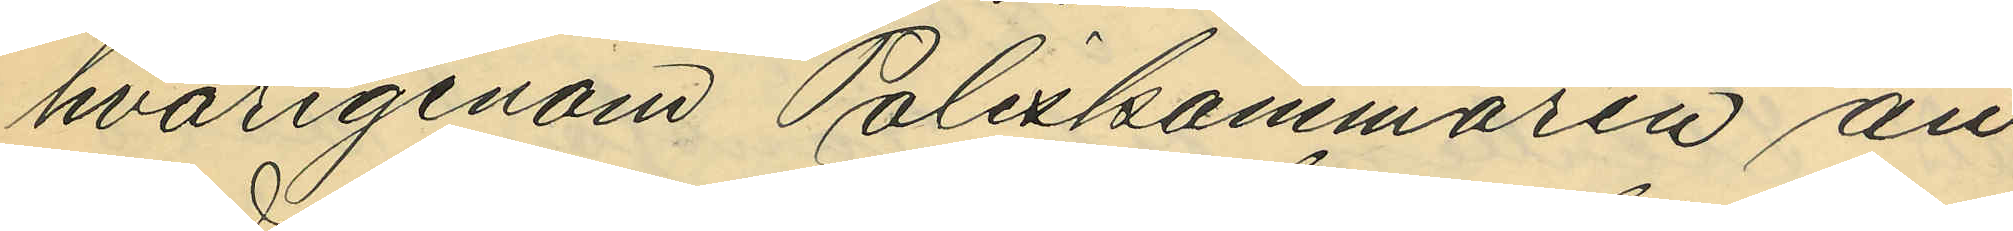hvarigenom Poliskammaren an¬
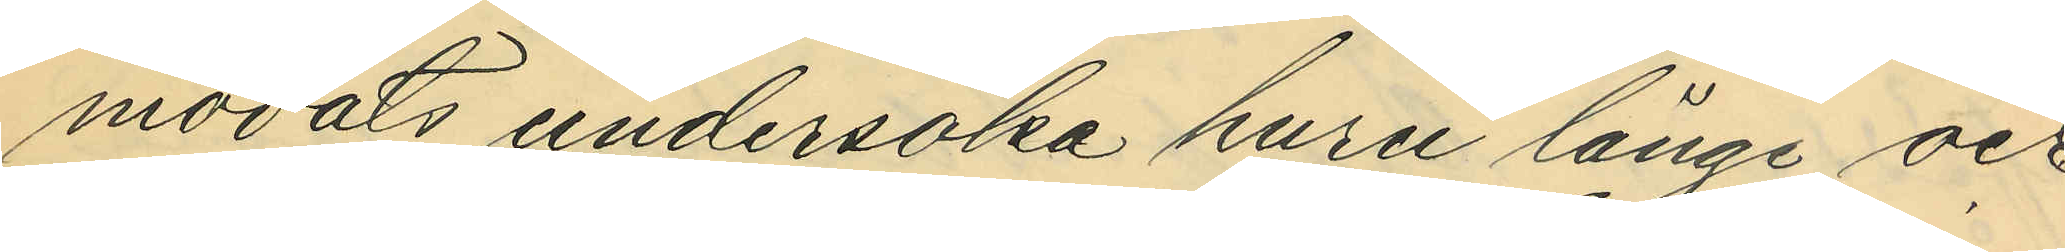modats undersöka huru länge och
